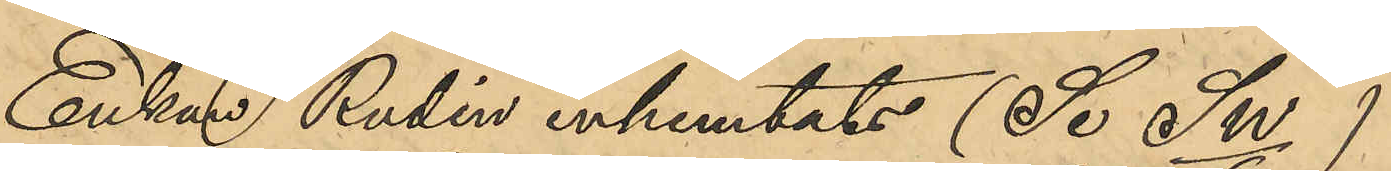Enkan Rudin inhemtats (Se Sw/6)
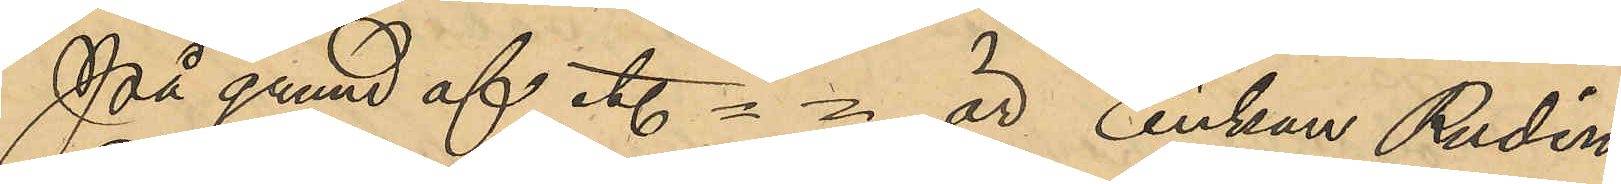På grund af etc. = = är Enkan Rudén
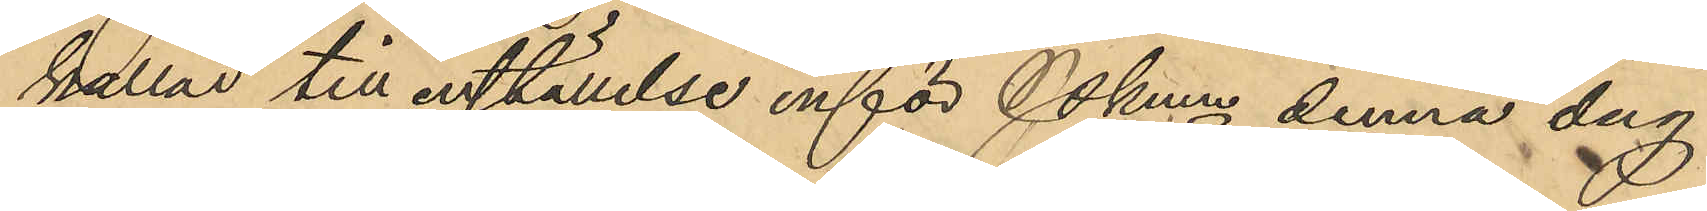kallad till inställelse inför Pkmn denna dag.
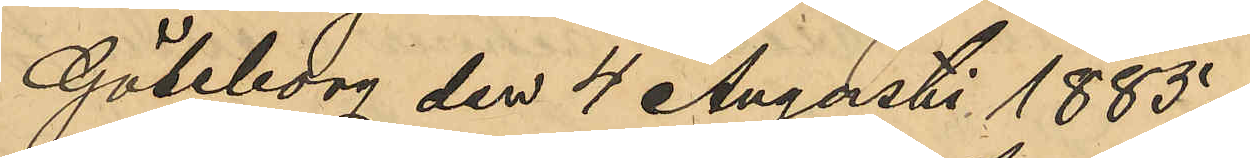Göteborg den 4 Augusti 1885.
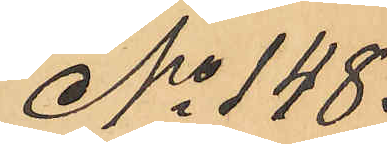No 148.
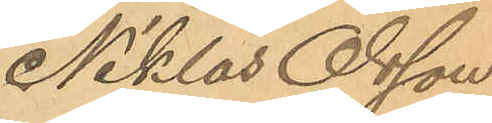Niklas Olsson
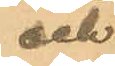och
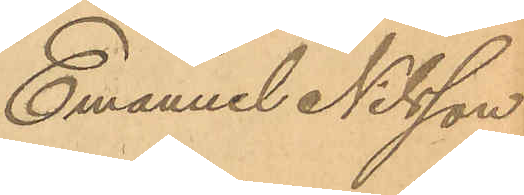Emanuel Nilsson
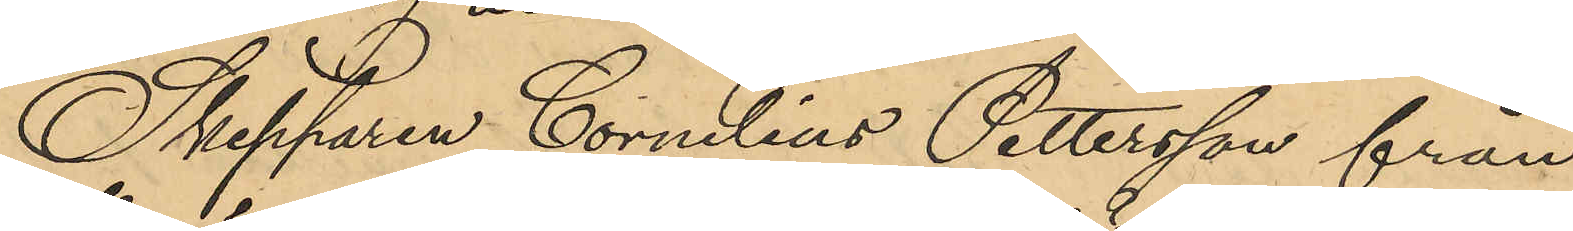Skepparen Cornelius Pettersson från
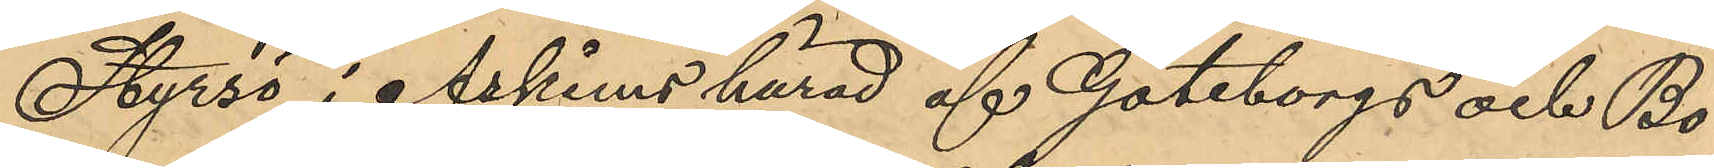Styrsö i Askims härad af Göteborgs och Bo¬
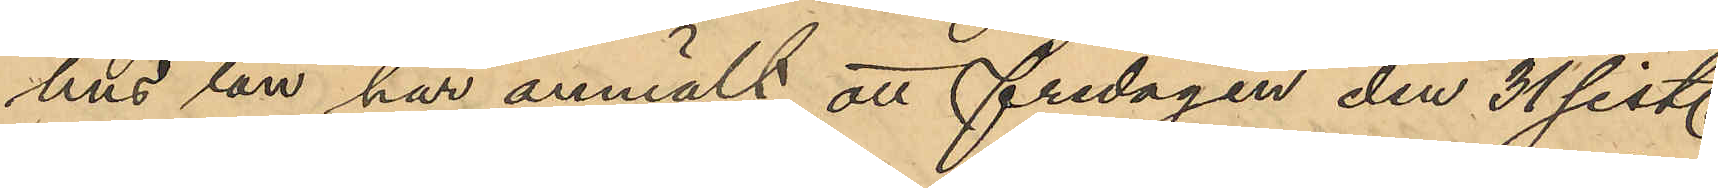hus län har anmält att fredagen den 31 sist.
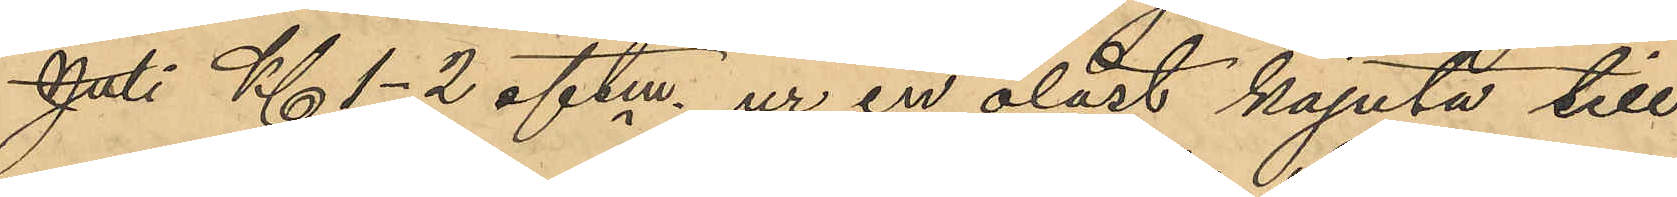Juli Kl 1-2 eftm. ur en olåst kajuta till
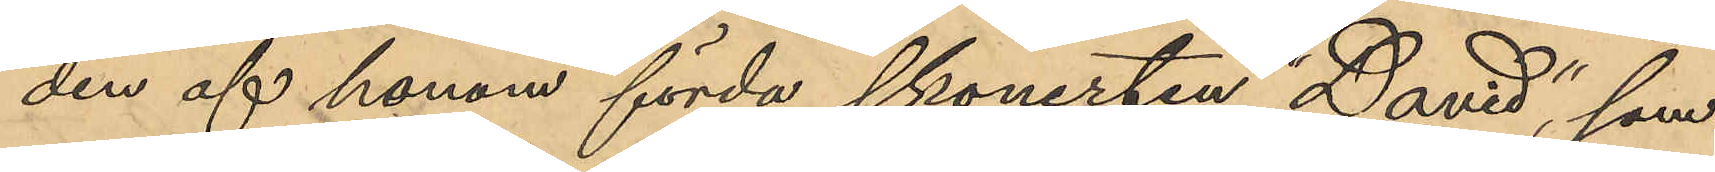den af honom förda skonerten "David", som
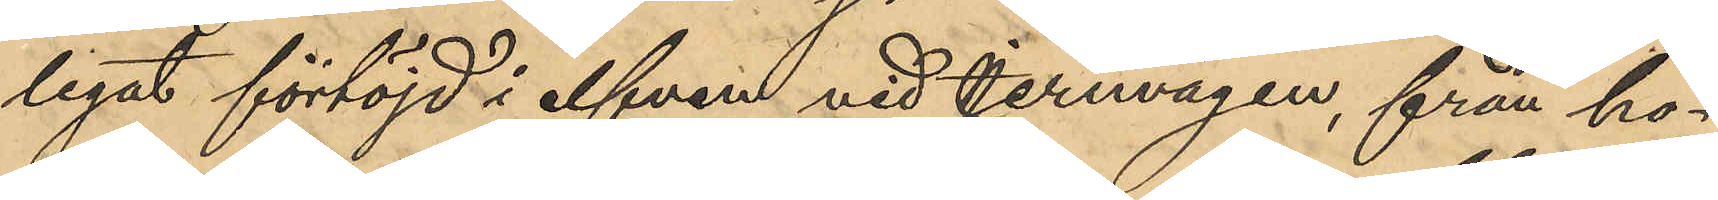legat förföjd i elfven vid Jernvägen, från ho¬
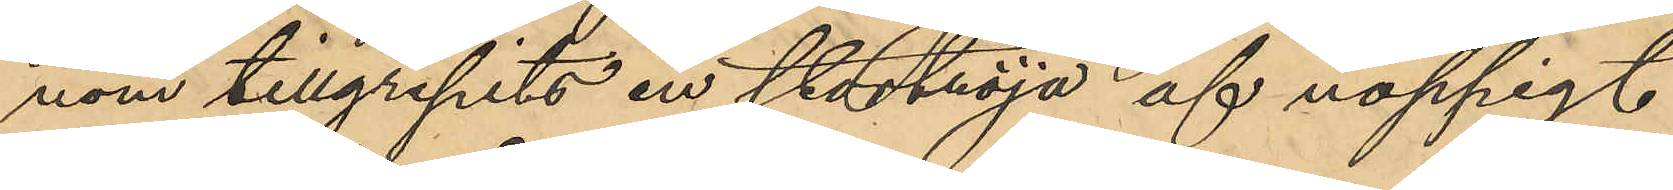nom tillgripits en stortröja af noppigt
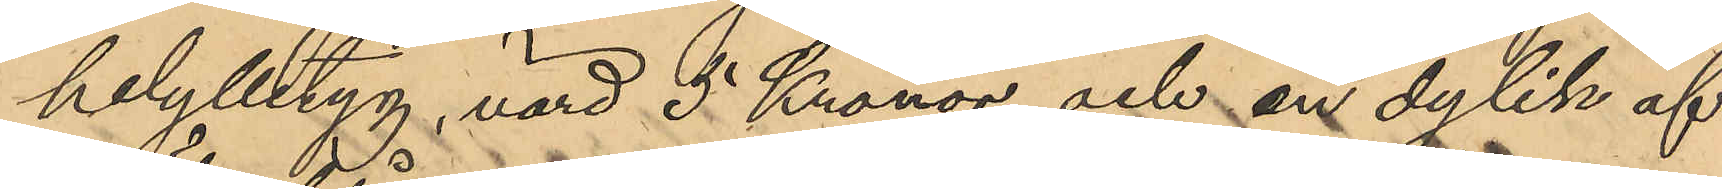helylletyg, värd 5 Kronor och en dylik af
